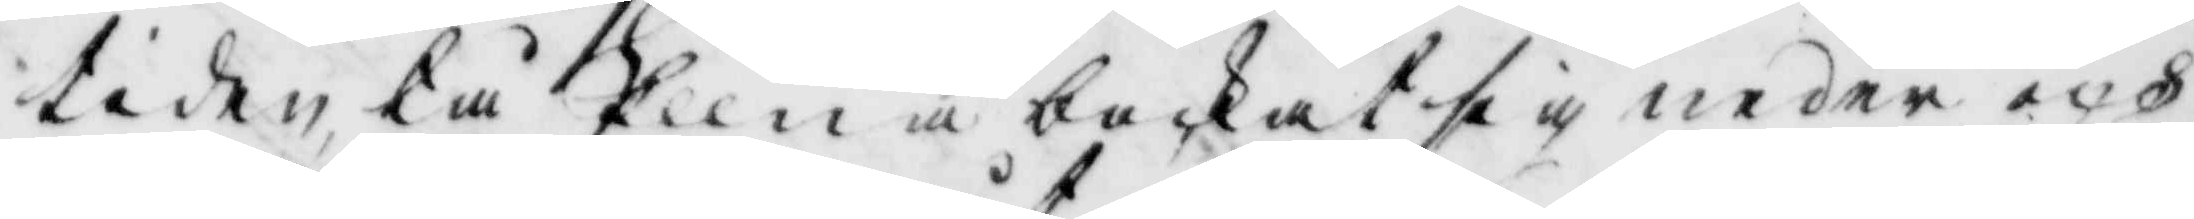tiden, tå Ellna bockat sig neder och
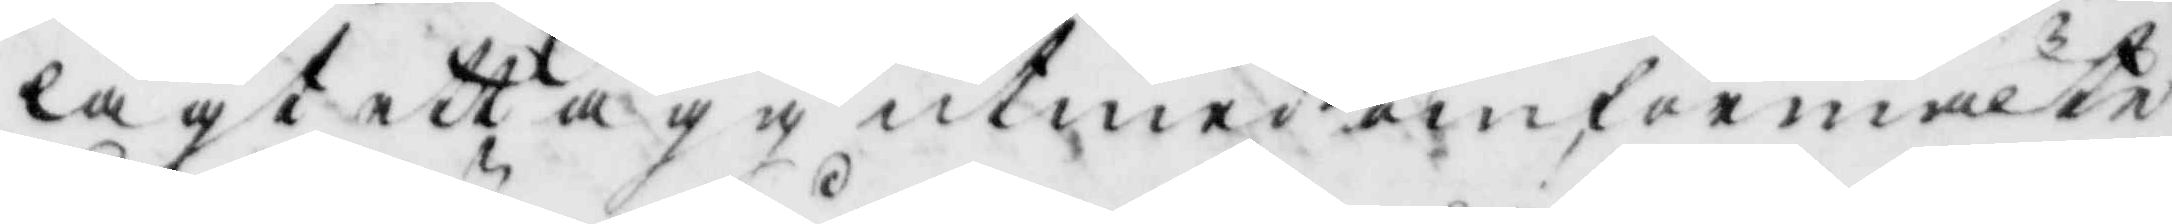lagt ett ägg utmed omförmelte
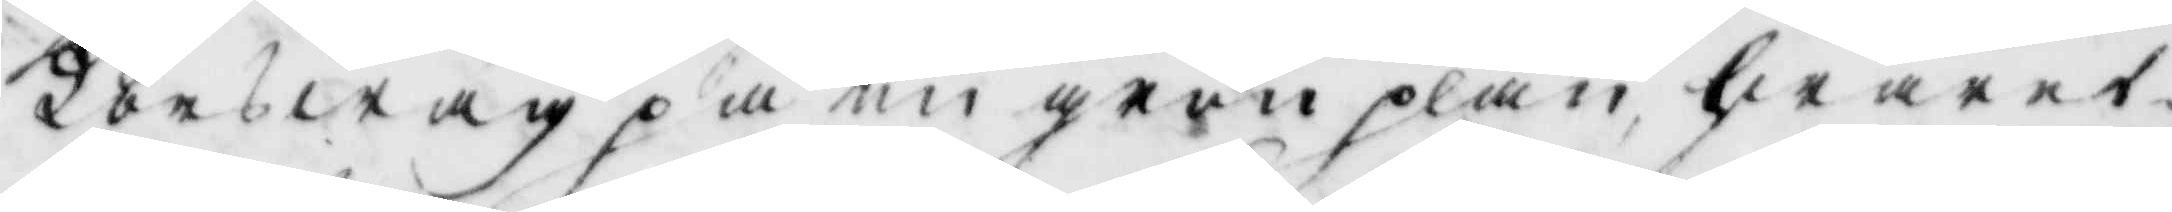Korswäg på en grön plan hwaref¬
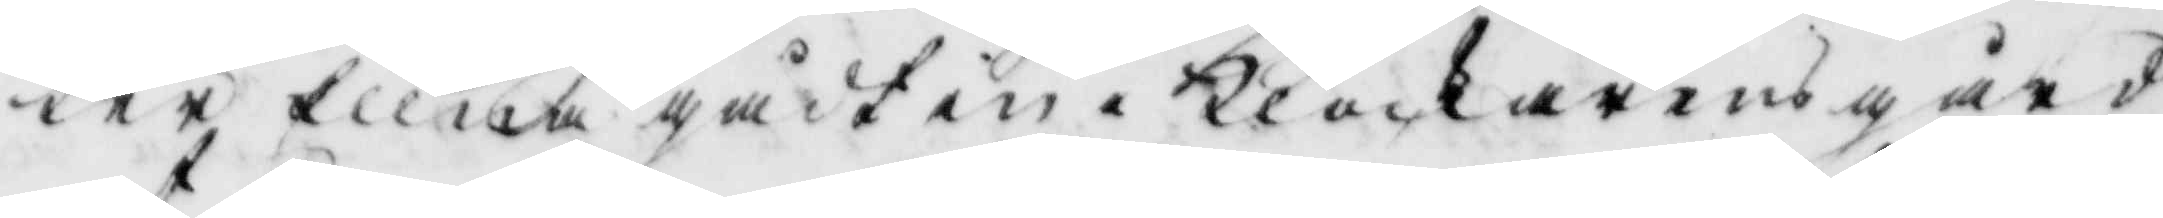ter Ellna gådt in i Klockarens gård
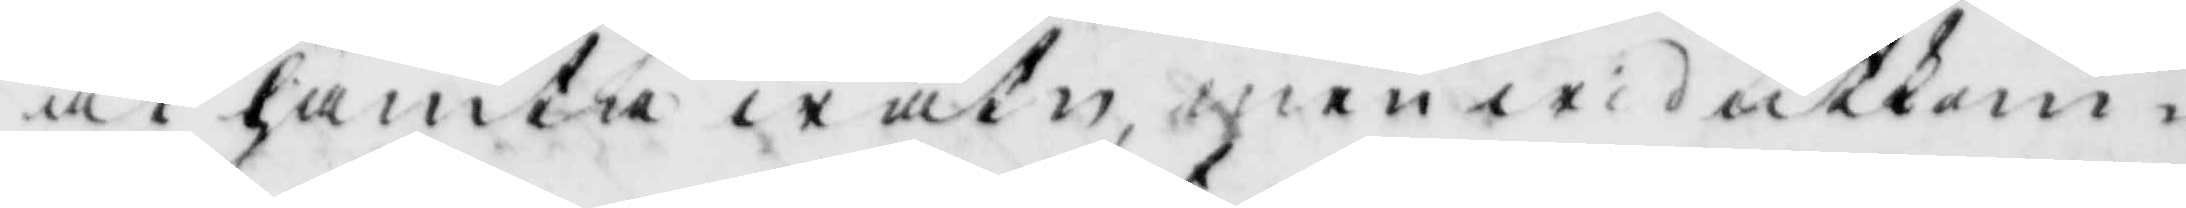at hämta watn men wid utkom¬
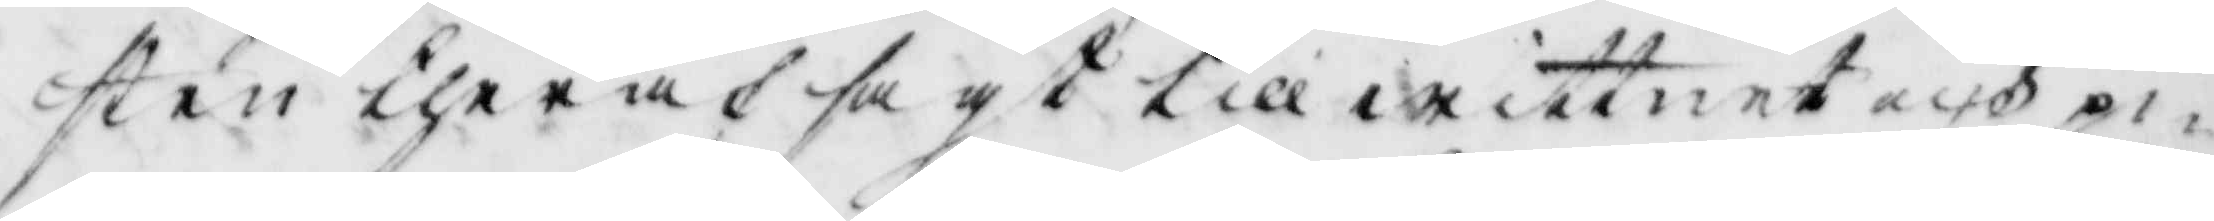sten theraf sagt till wittnet och pi¬
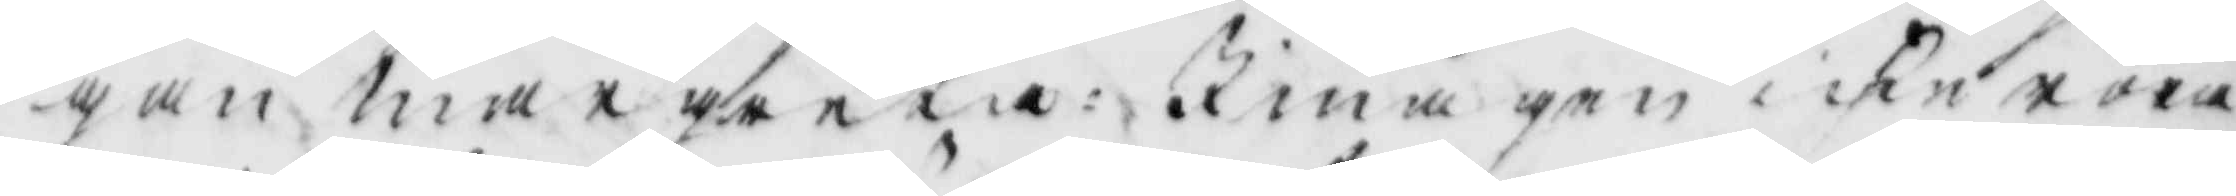gan margareta: I måge icke röra
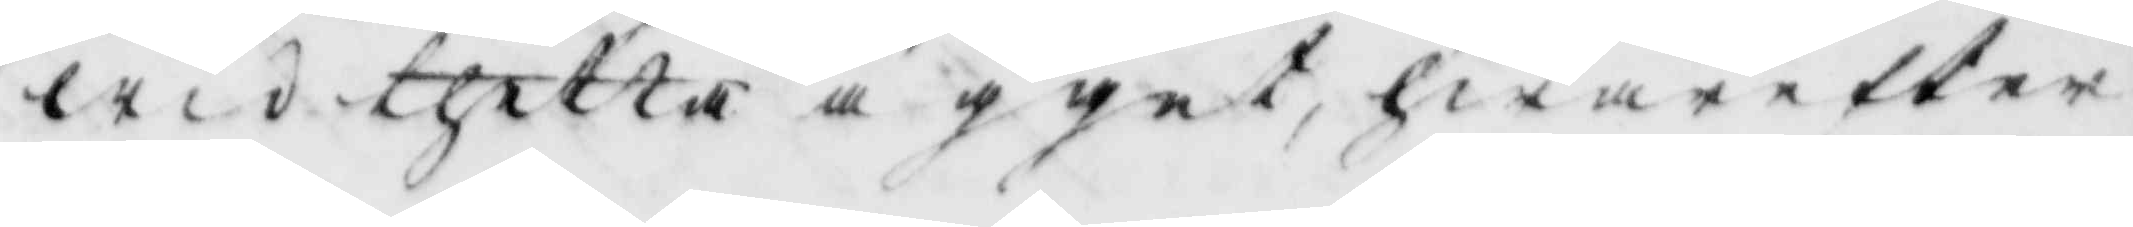wid thetta ägget, hwarefter
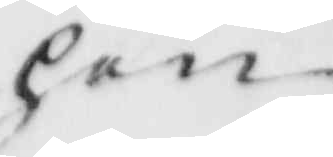hon
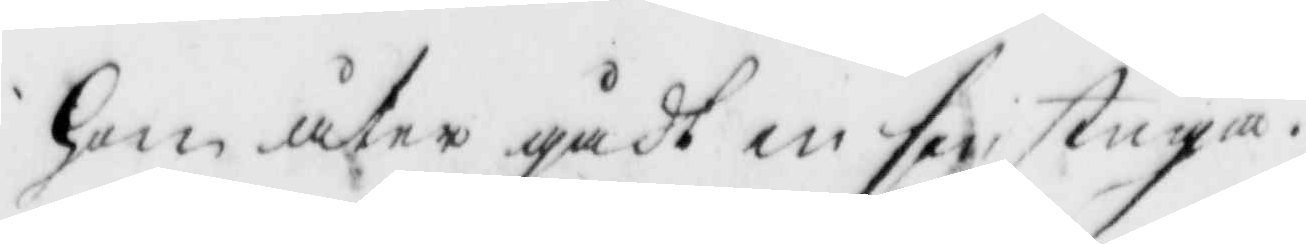hon åter gådt in sin stuga.
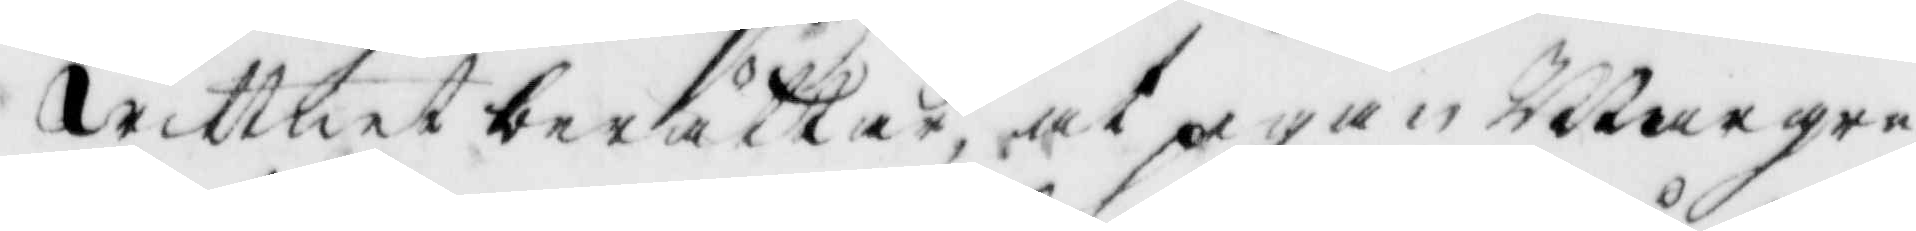Wittnet berättar, at pigan Margare¬
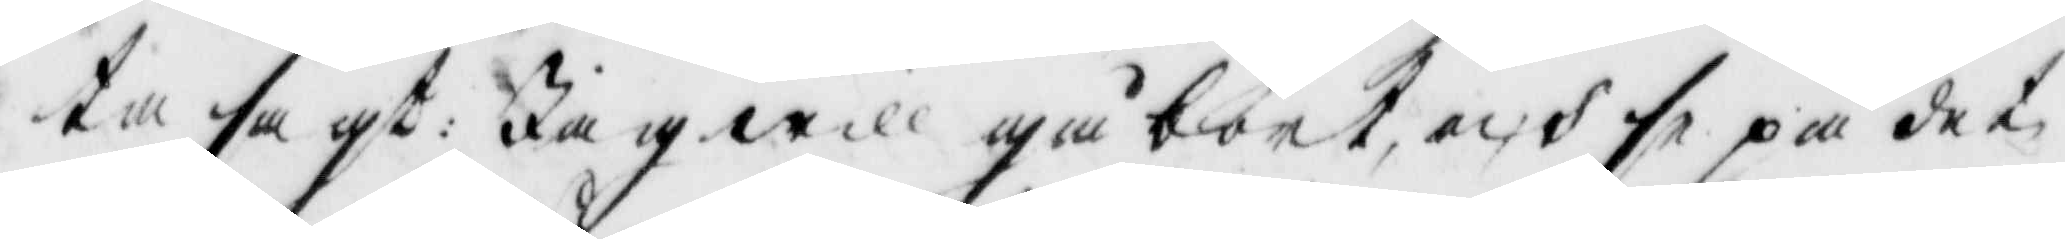ta sagt: Jag will gåbort, och se på det
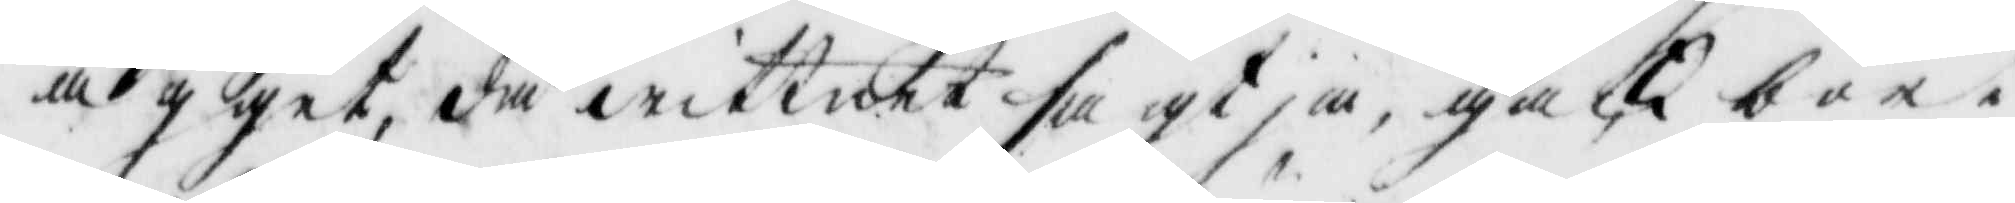ägget, då wittnet sagt, ja, gack bort
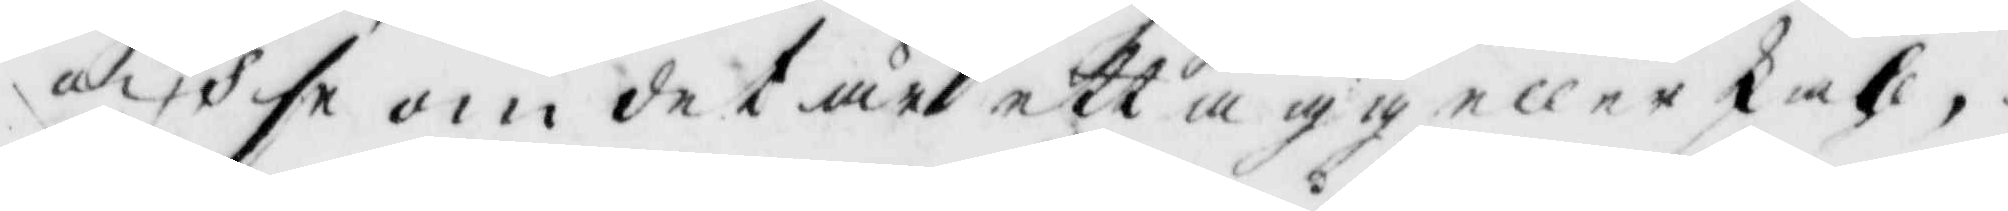och se om det är ett ägg eller Skahl,
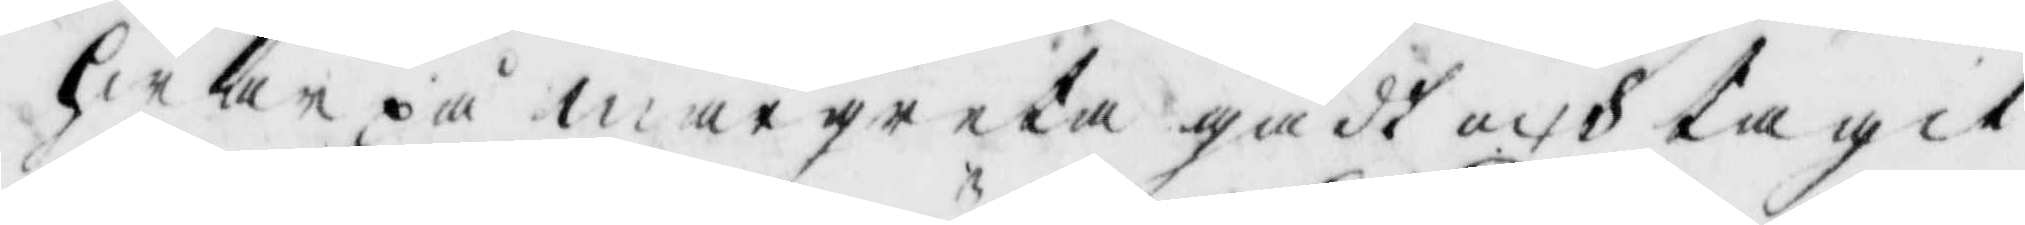hwar på margareta gådt och tagit
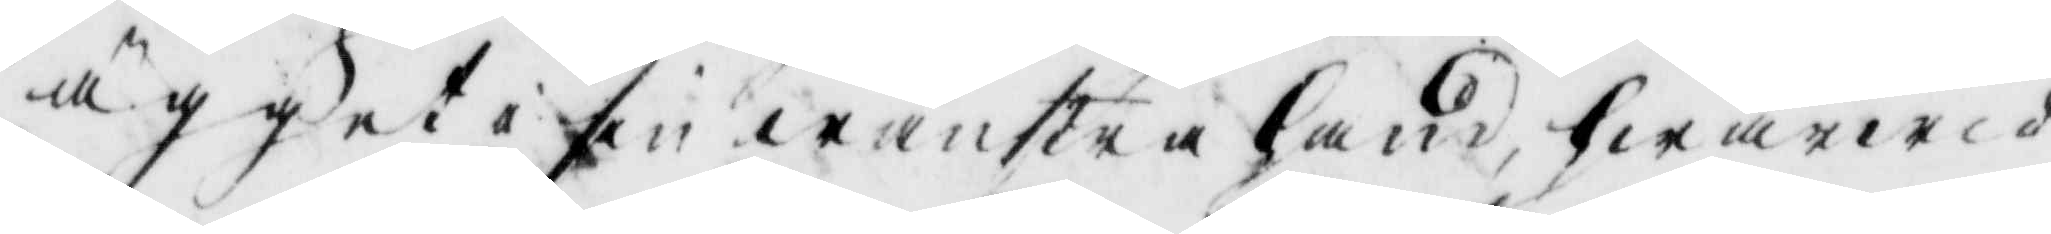ägget i sin wänstra hand, hwarwid
